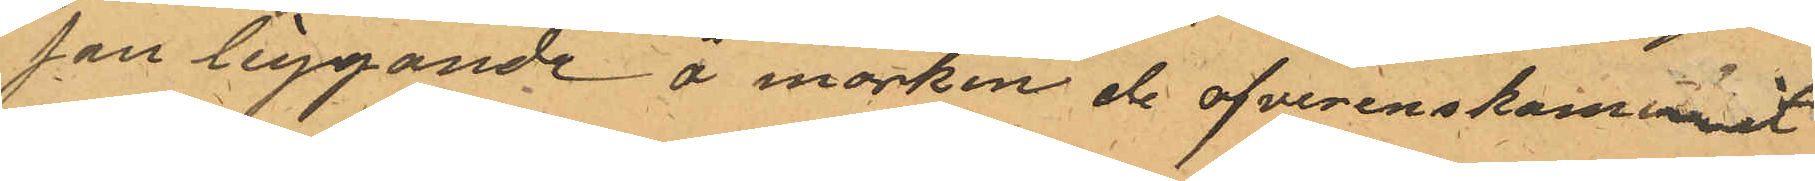son liggande å morken de ofverenskommit
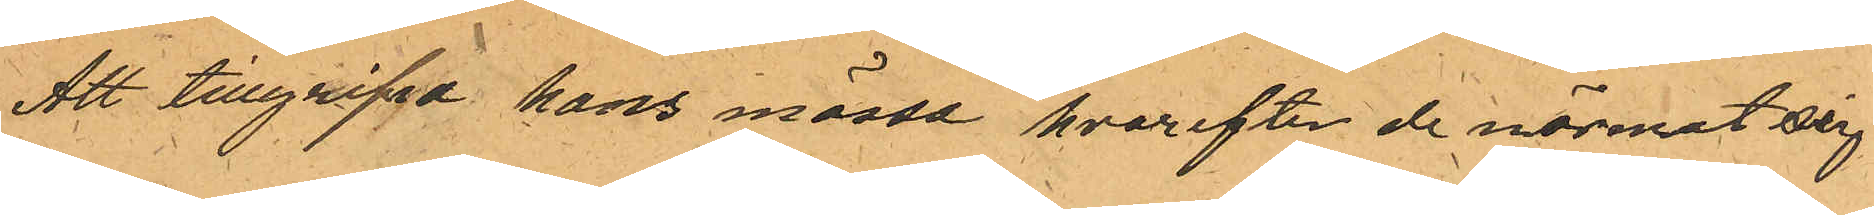Att tillgript hans mössa, hvarefter de närmat sig
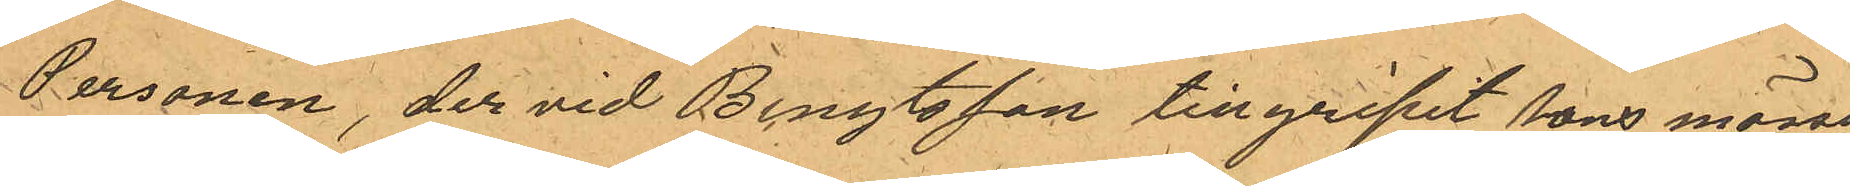Personen, der vid Bengtsson tillgripit hans mössa
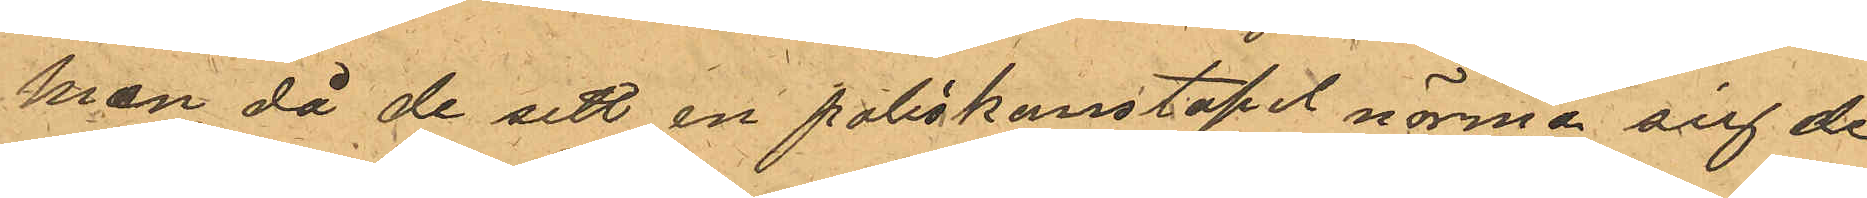men då de sett en poliskonstapel närma sig de
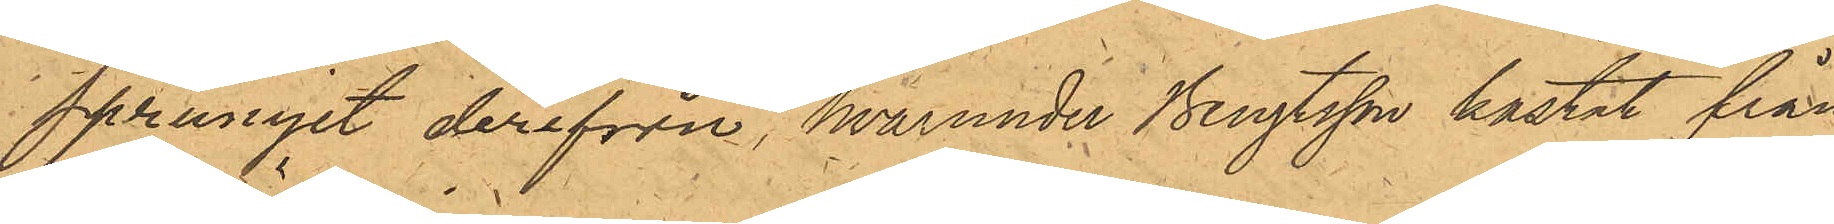sprungit derifrån, hvarunder Bengtsson kastat från
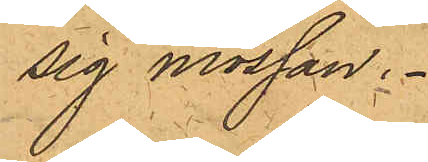sig mössan.
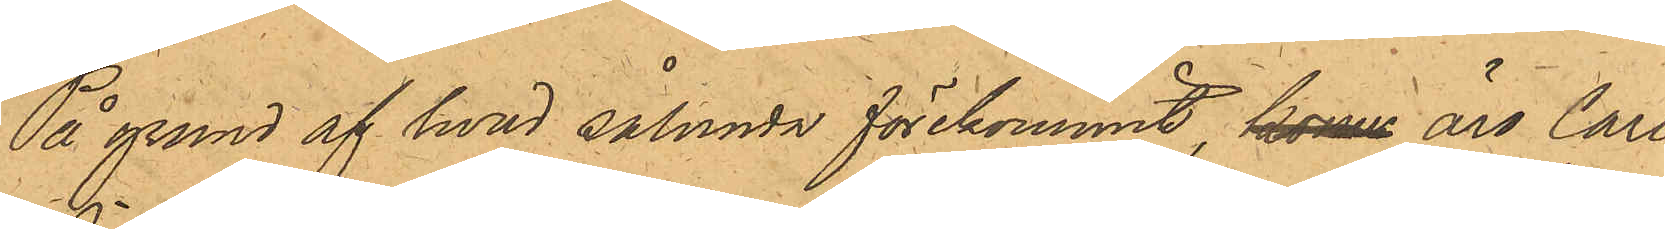På grund af hvad sålunda förekommit, komm äro Carl
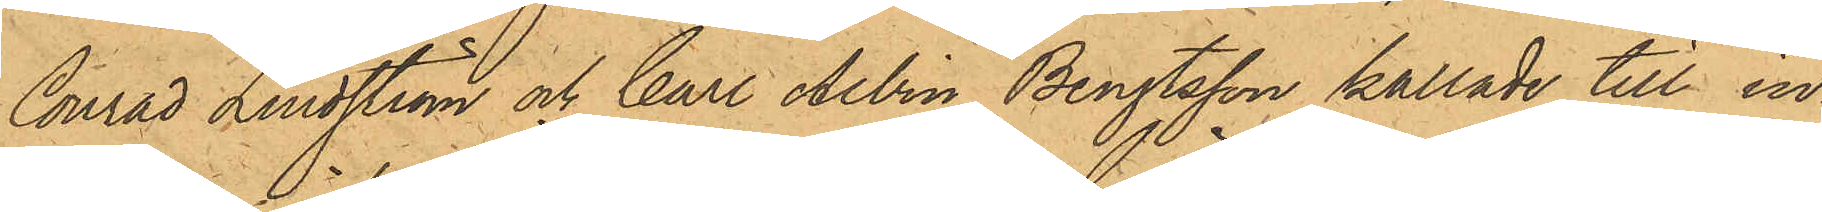Conrad Lindström och Carl Albin Bengtsson kallade till in¬
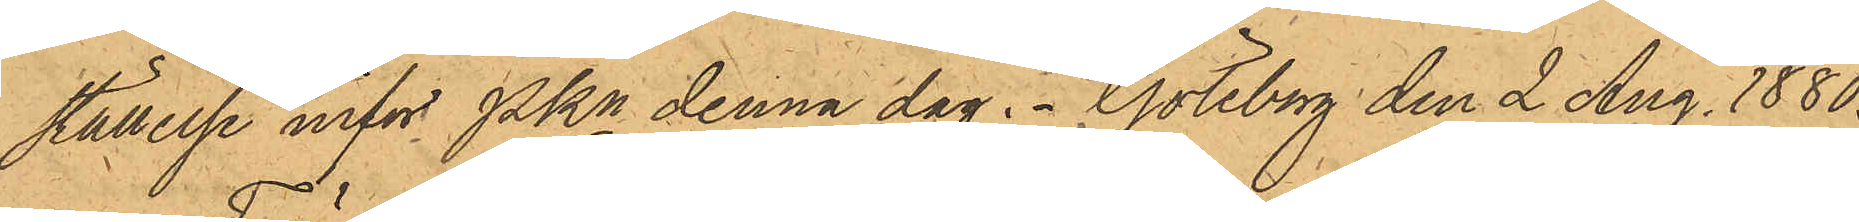ställelse inför PKn denna dag. Göteborg den 2 Aug. 1880.
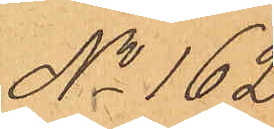No 162.
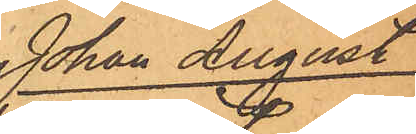Johan August
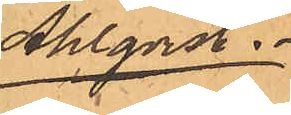Ahlqvist.
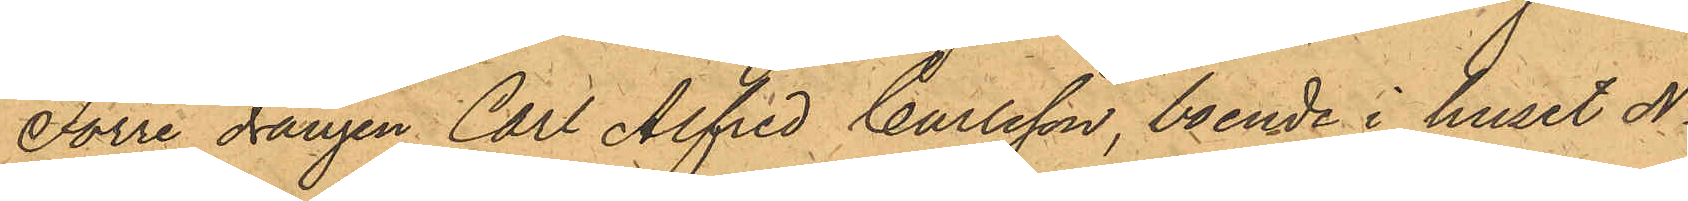Förre drängen Carl Alfred Carlsson, boende i huset No
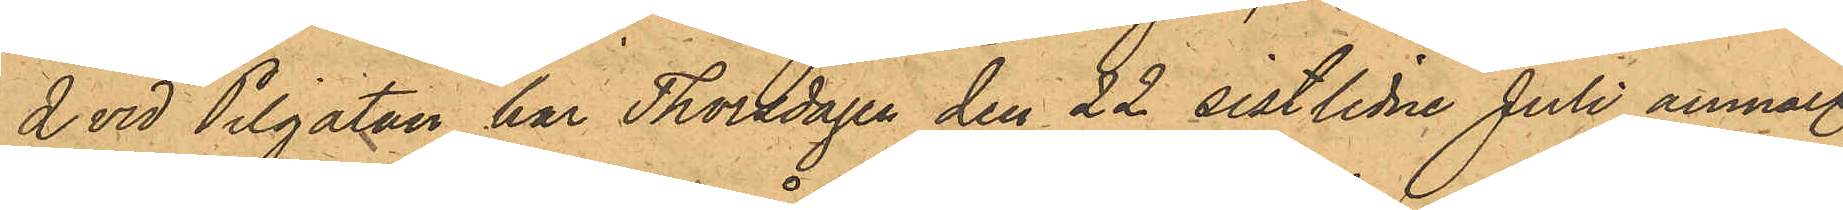2 vid Pilgatan har Thorsdagen den 22 sistlidne Juli anmält,
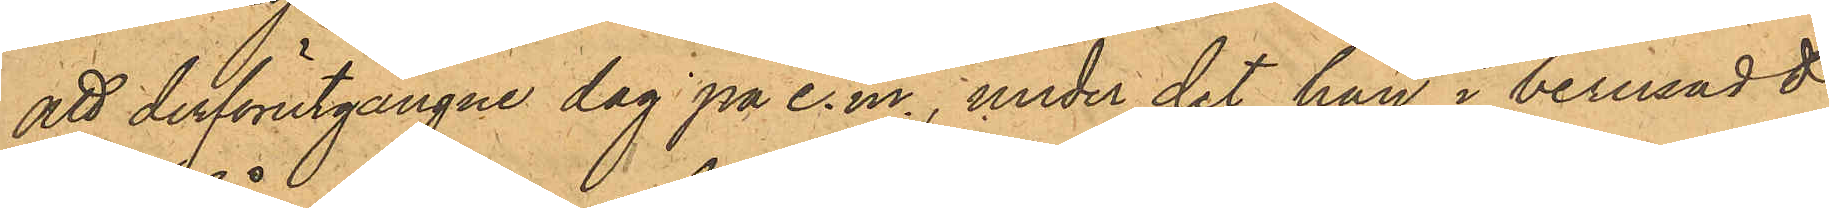att derförutgångne dag på e.m., under det han i berusadt
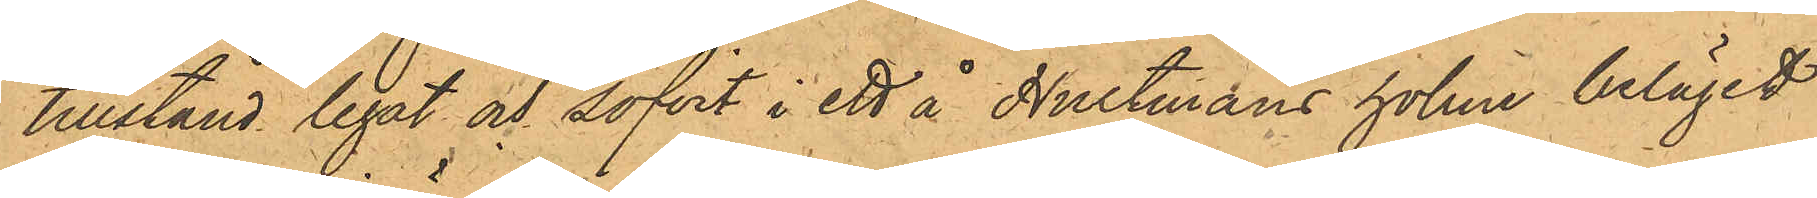tillstånd legat och sofvit i ett å Hultmans holme beläget
